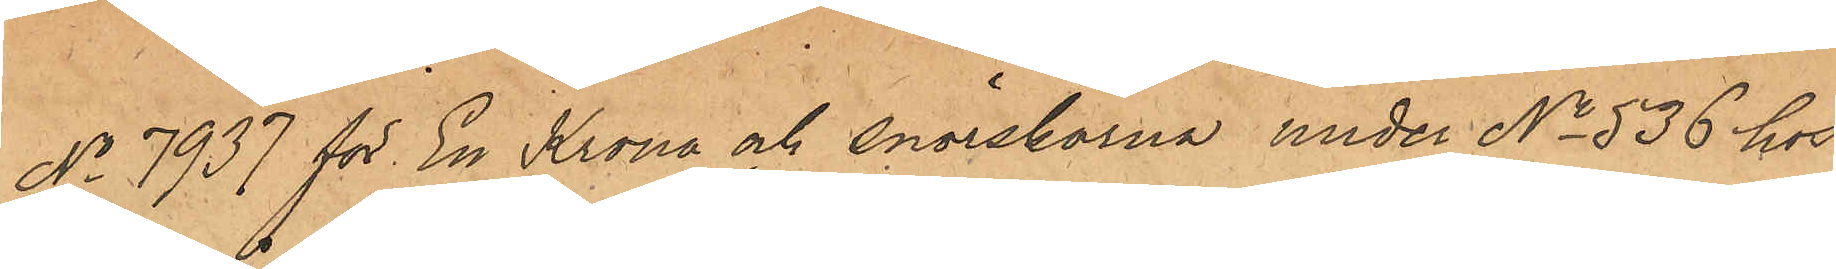No 7937 för En Krona och snörskorna under No 536 hos 
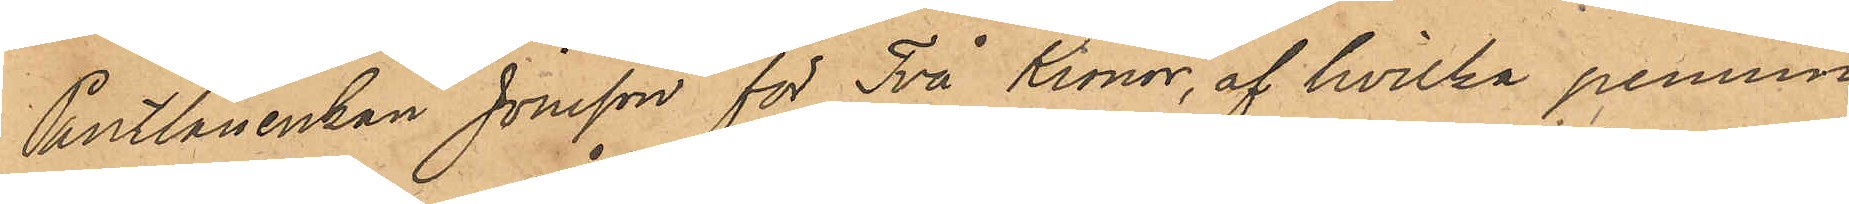Pantlånerskan Jonsson för Två Kronor, af hvilka pennin¬
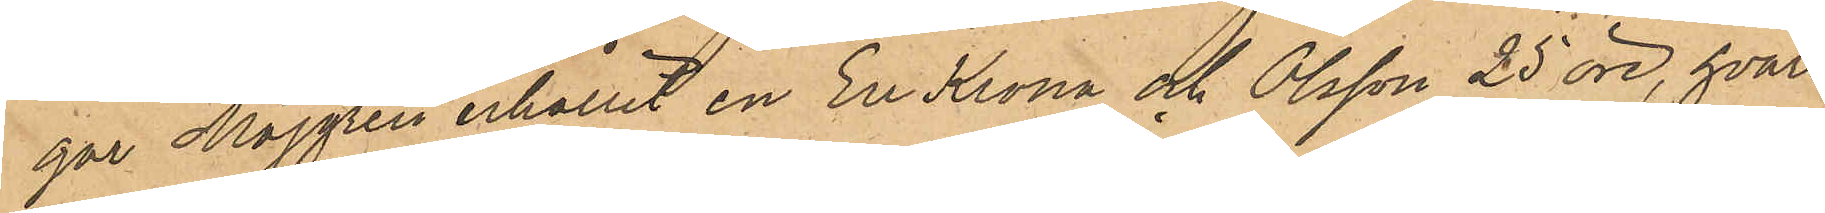gar Majgren erhållit en En Krona och Olsson 25 öre, hvare¬
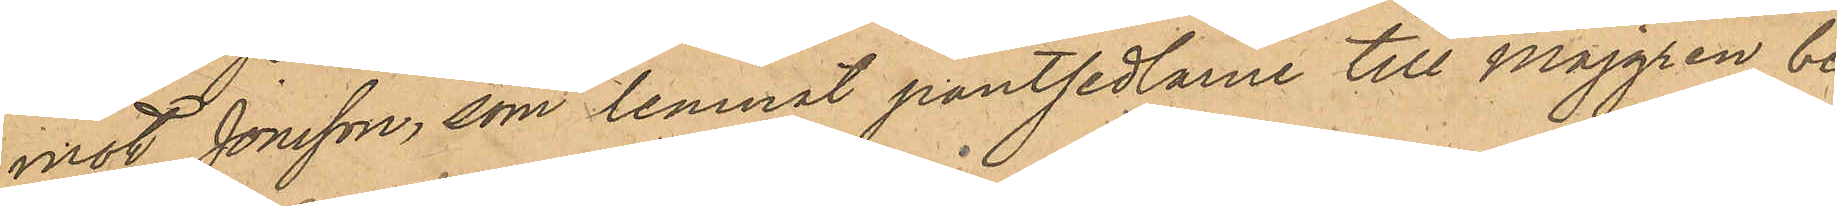mot Jonsson, som lemnat pantsedlarene till Majgren, be¬
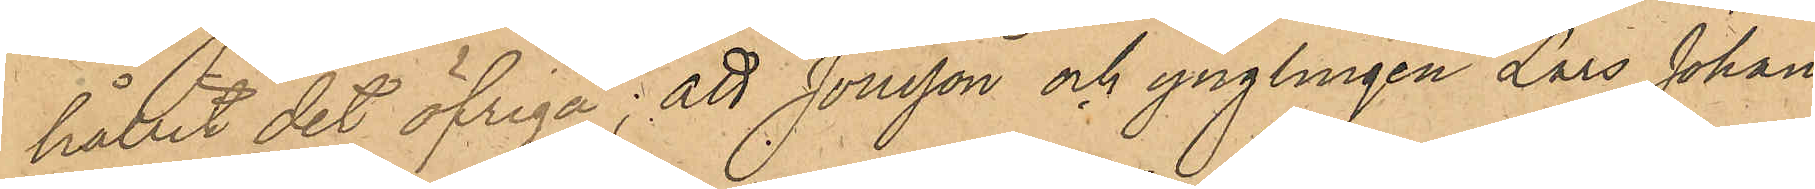hållit det öfriga; att Jonsson och ynglingen Lars Johan
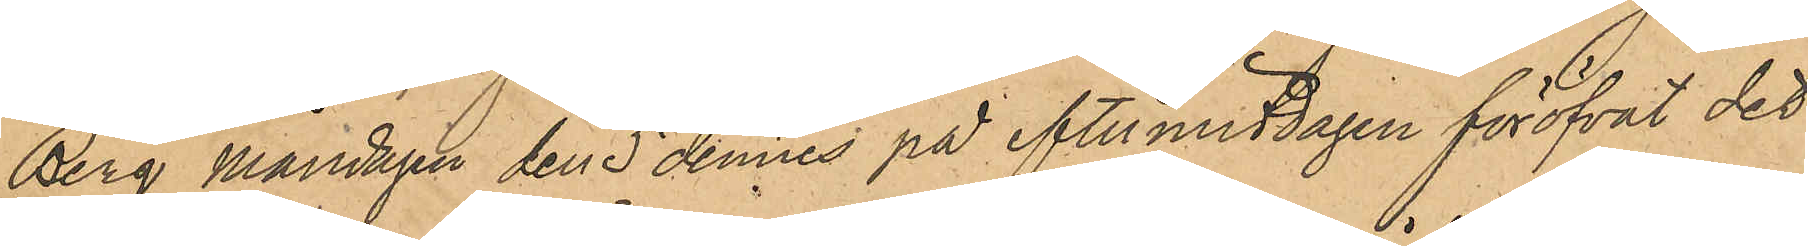Berg måndagen den 5 dennes på eftermiddagen föröfvat det
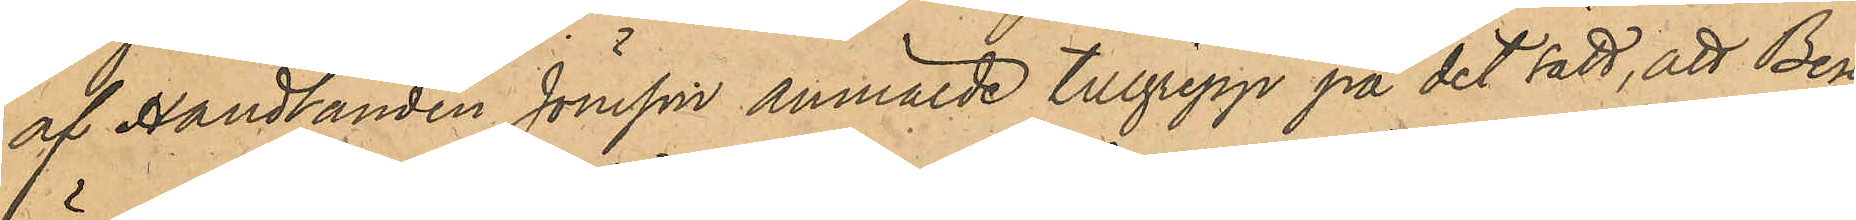af Handlanden Jönsson anmälde tillgrepp på det sätt, att Berg
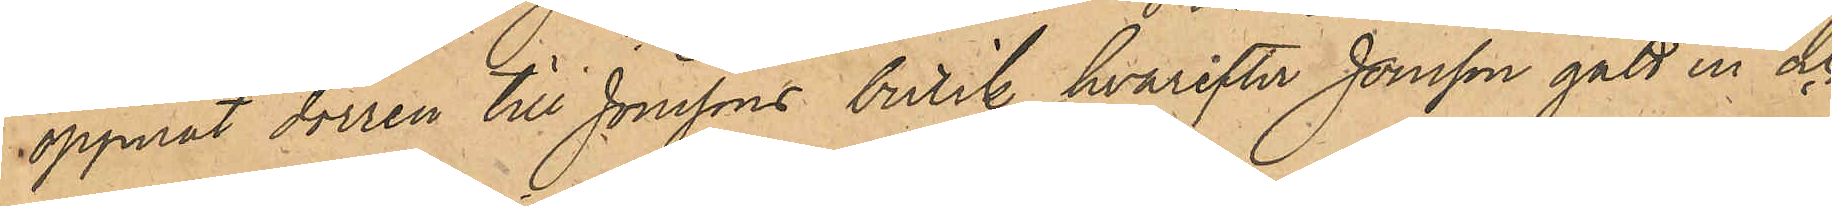öppnat dörren till Jönssons butik, hvarefter Jonsson gått in och
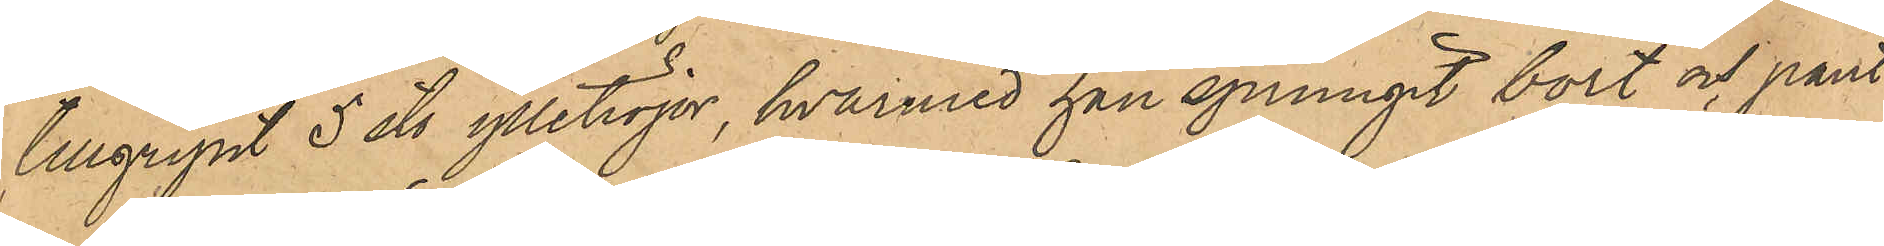tillgripit 5 st. ylletröjor, hvarmed han sprungit bort och pant¬
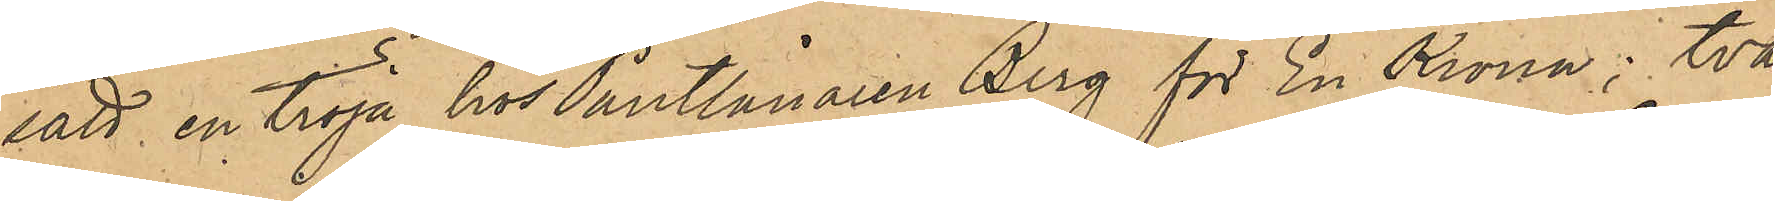satt en tröja hos Pantlånaren Berg för En Krona; två
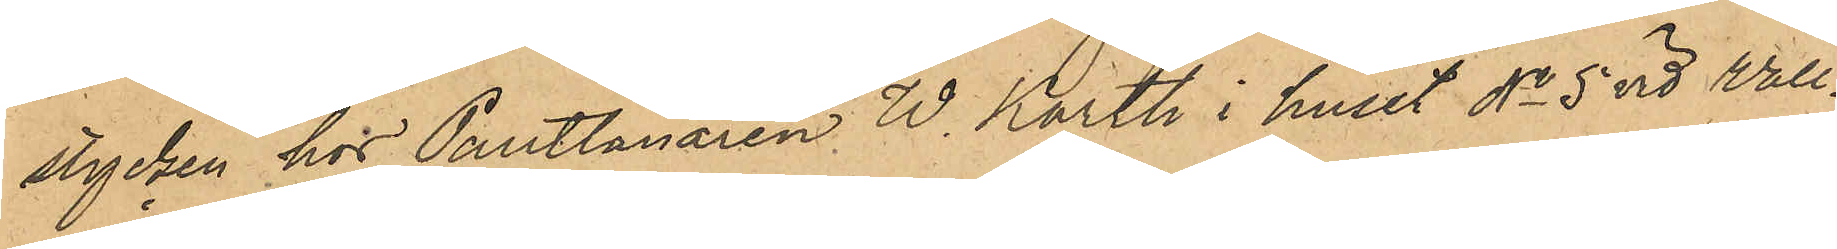stycken hos Pantlånaren W. Karth i huset No 5 vid Wall¬
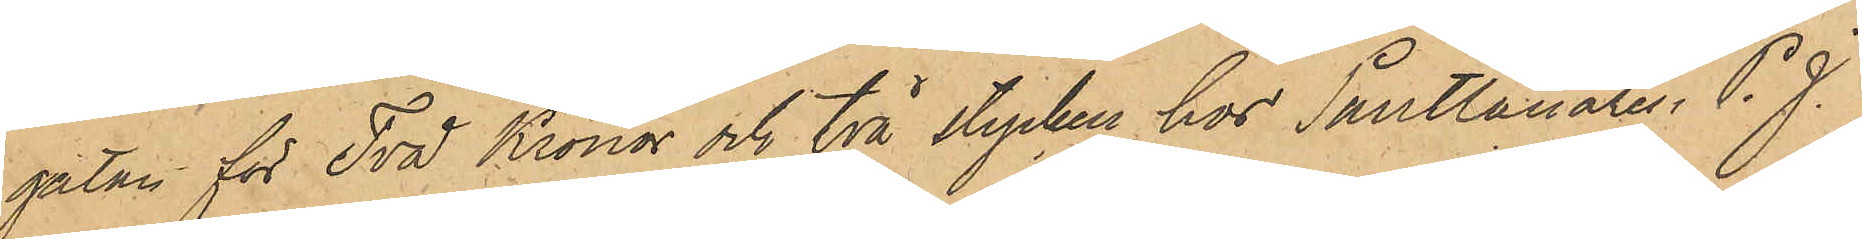gatan för Två Kronor och två stycken hos Pantlånaren P. J.
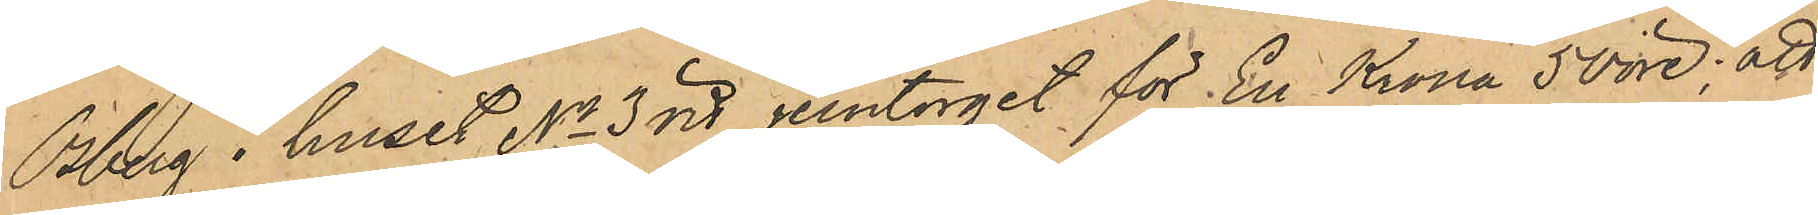Osberg i huset No 3 vid jerntorget för En Krona 50 öre; att
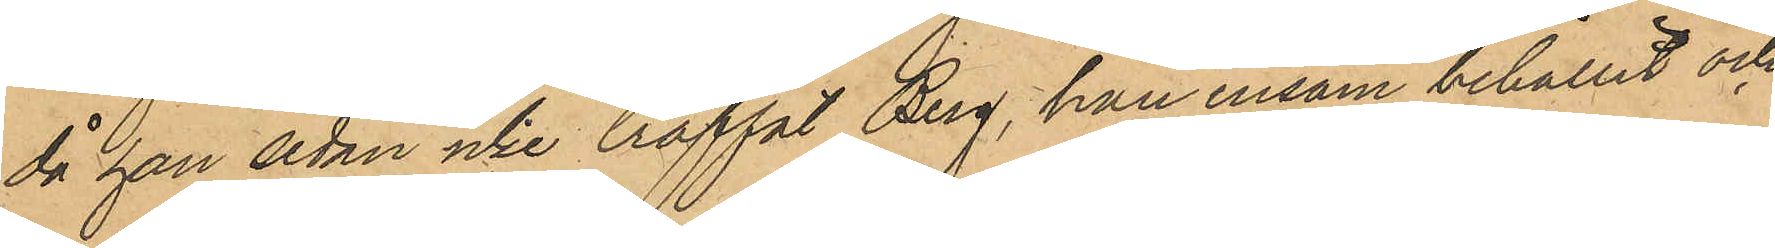då han sedan icke träffat Berg, han ensam behållit och
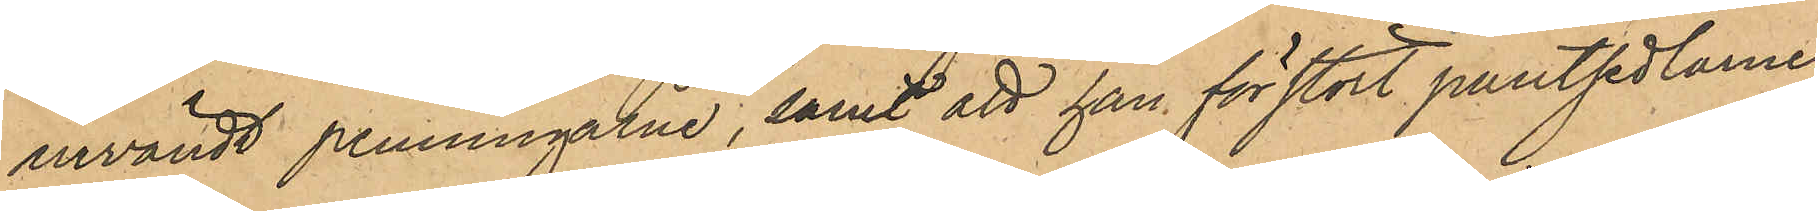användt penningarne, samt att han förstört pantsedlarne,
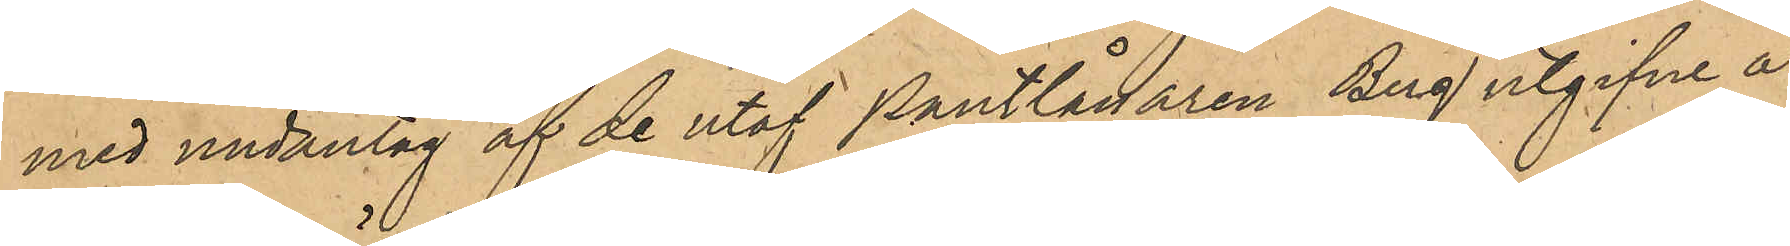med undantag af de utaf Pantlånaren Berg utgifne å
